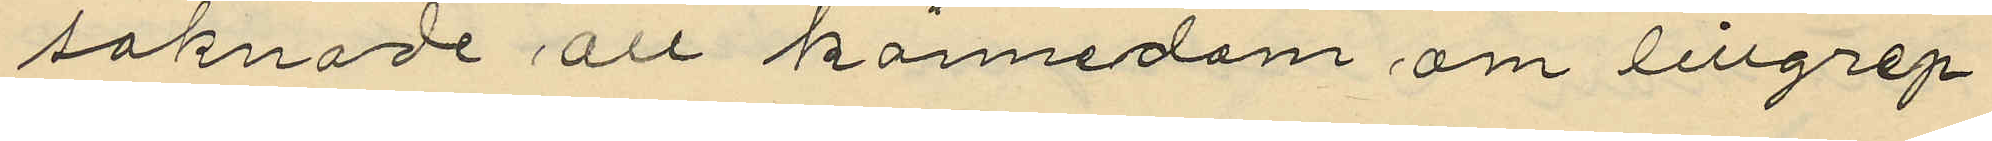saknade all kännedom om tillgrep¬
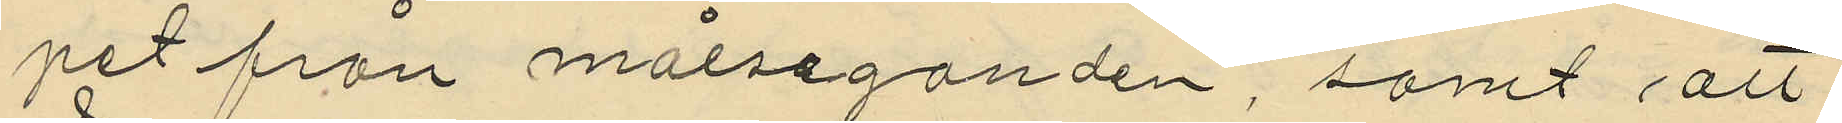pet från målseganden, samt att
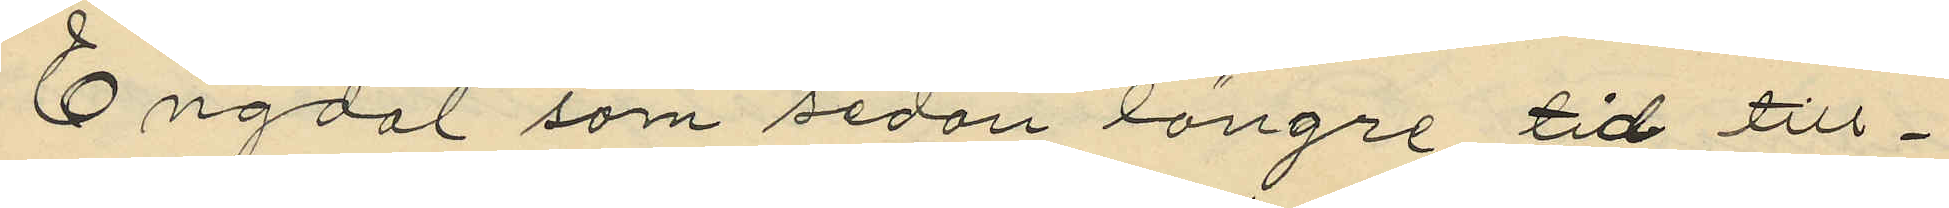Engdal som sedan längre tid till¬
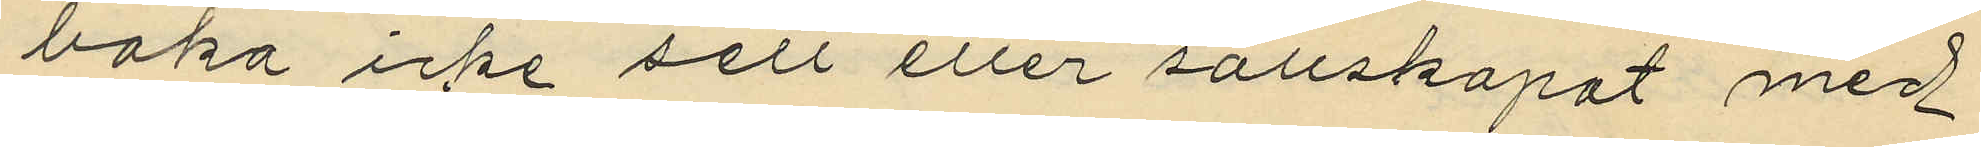baka icke sett eller sällskapat med
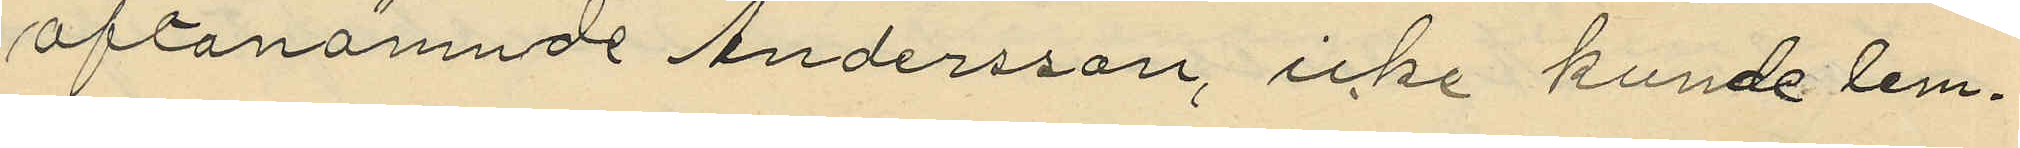oftanämnde Andersson, icke kunde lem¬
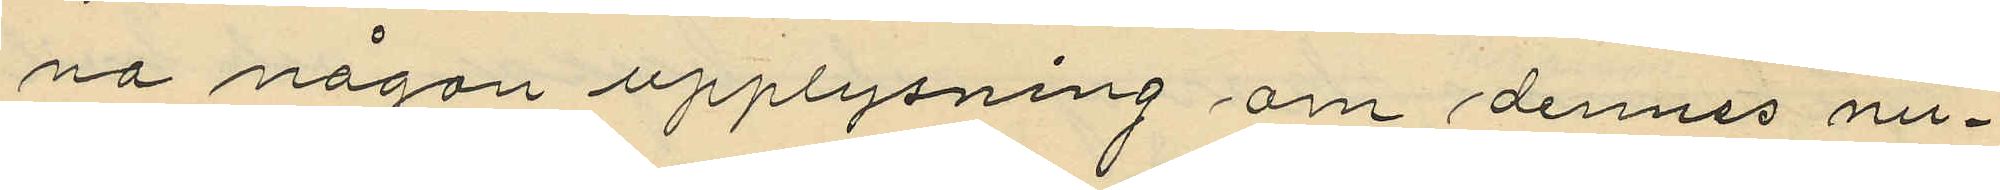na någon upplysning om dennes nu¬
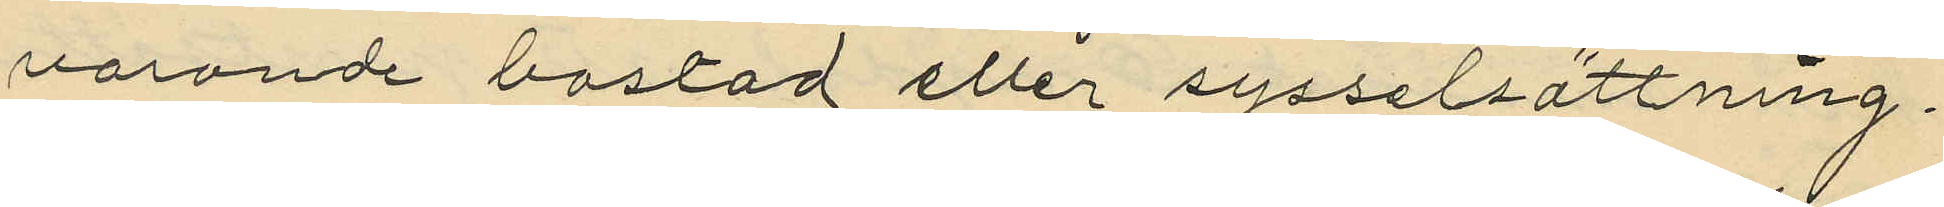varande bostad eller sysselsättning.
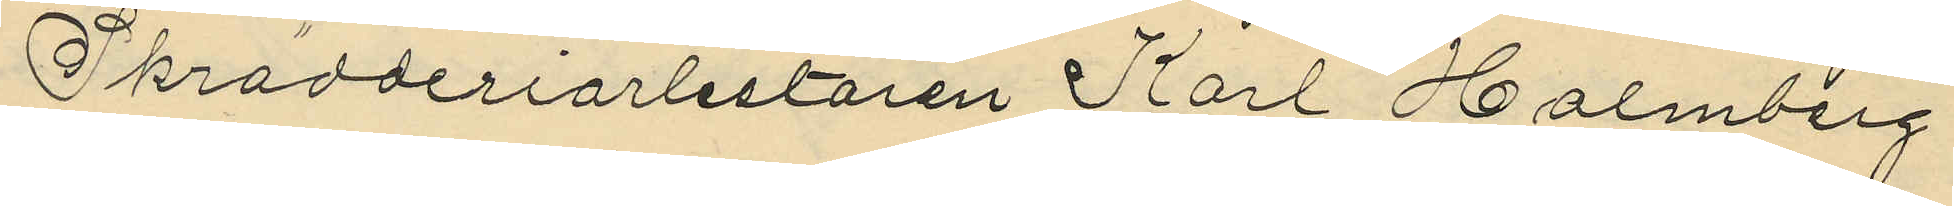Skrädderiarbetaren Karl Holmberg
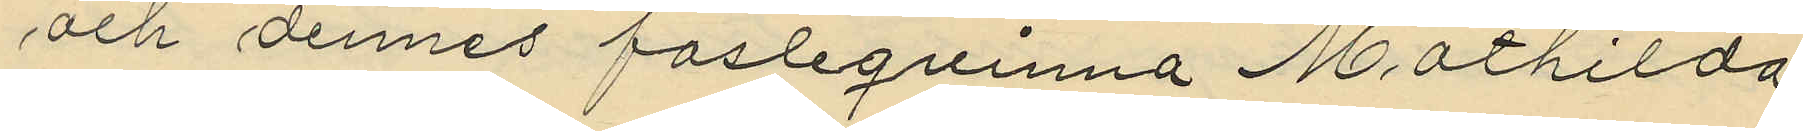och dennes fästeqvinna Mathilda
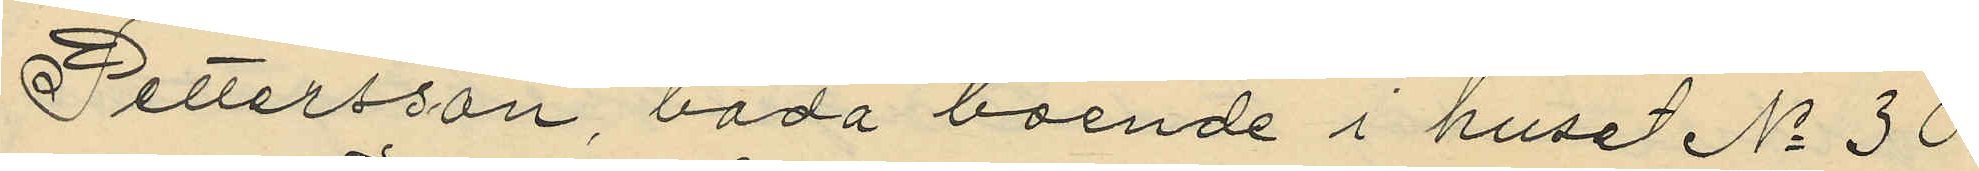Pettersson, båda boende i huset No 30
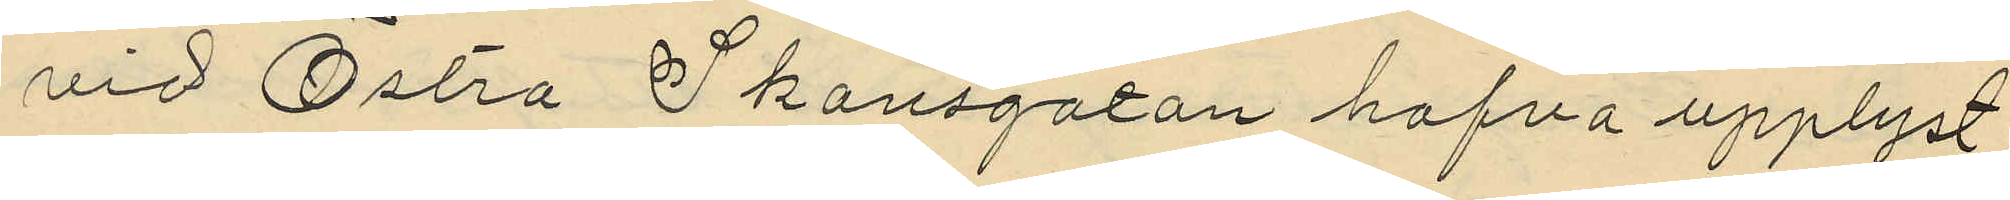vid Östra Skansgatan hafva upplyst
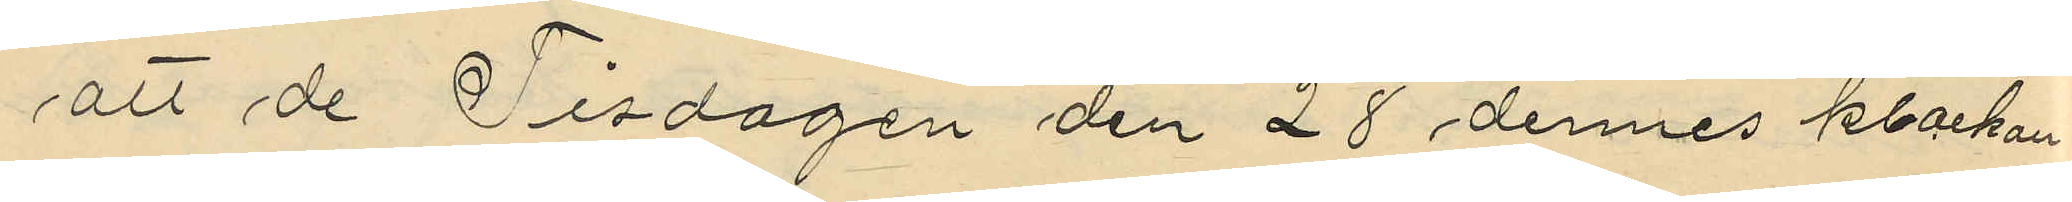att de Tisdagen den 28 dennes klockan
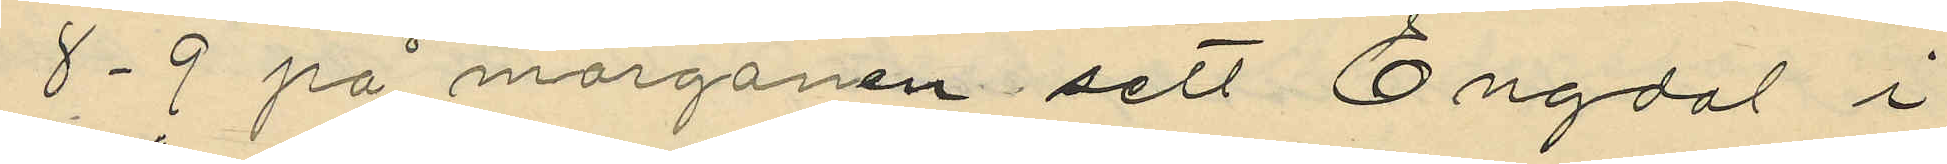8-9 på morgonen sett Engdal i
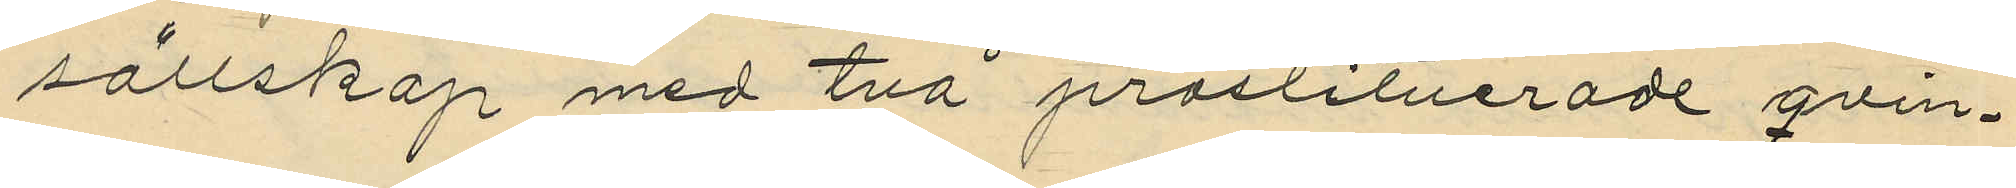sällskap med två prostituerade qvin¬
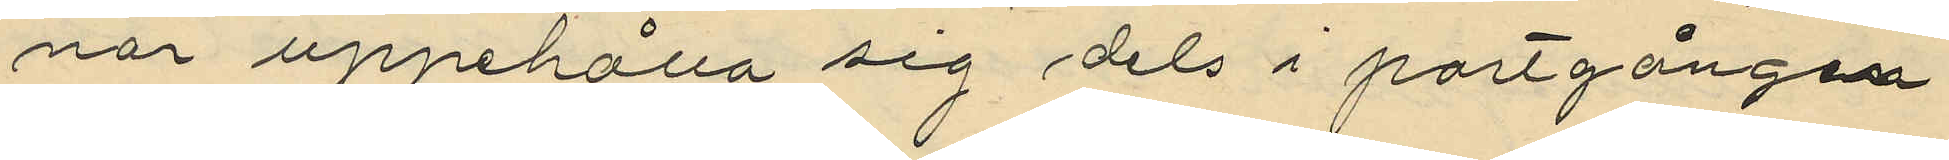nor uppehålla sig dels i portgången
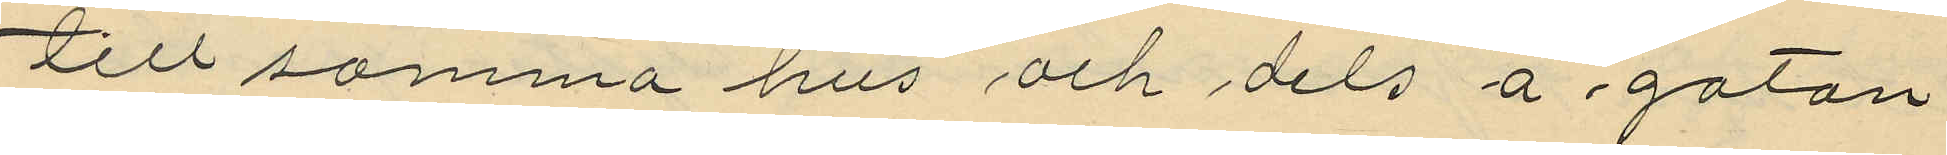till samma hus och dels å gatan
